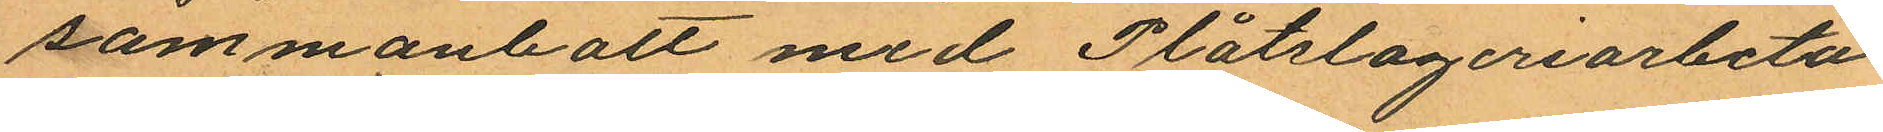sammanbott med Plåtslageriarbeta¬
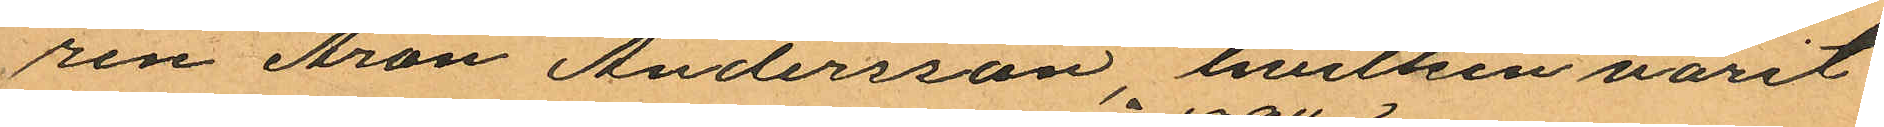ren Aron Andersson hvilken varit
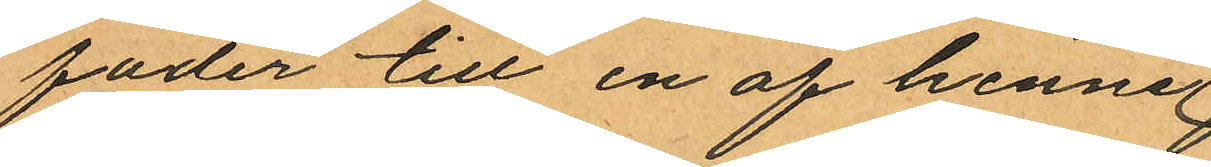fader till en af henne
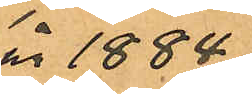år 1884
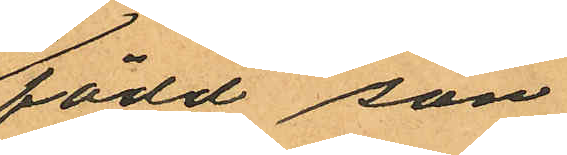född son
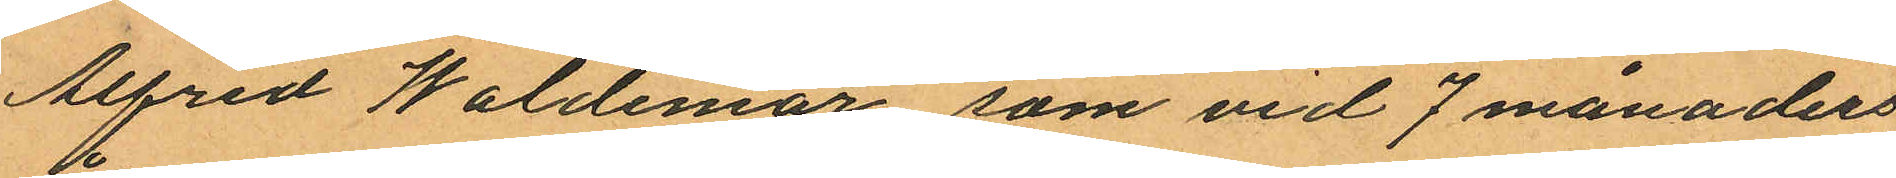Alfred Waldemar, som vid 7 månaders
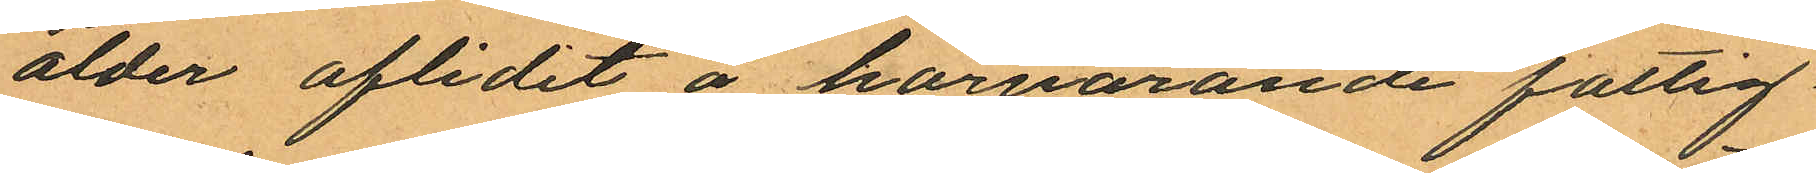ålder aflidit å härvarande fattig¬
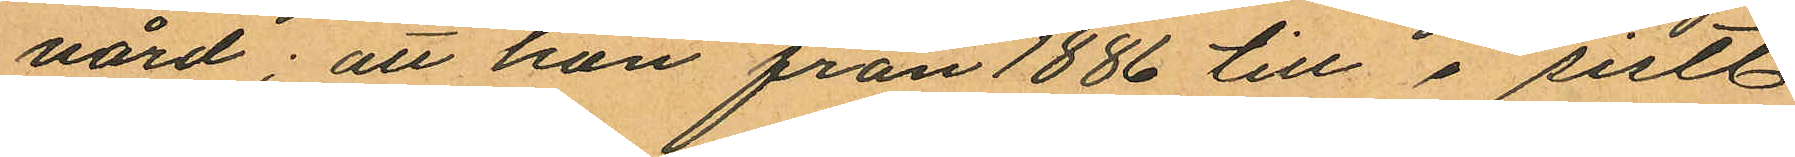vård; att hon från 1886 till i sistl
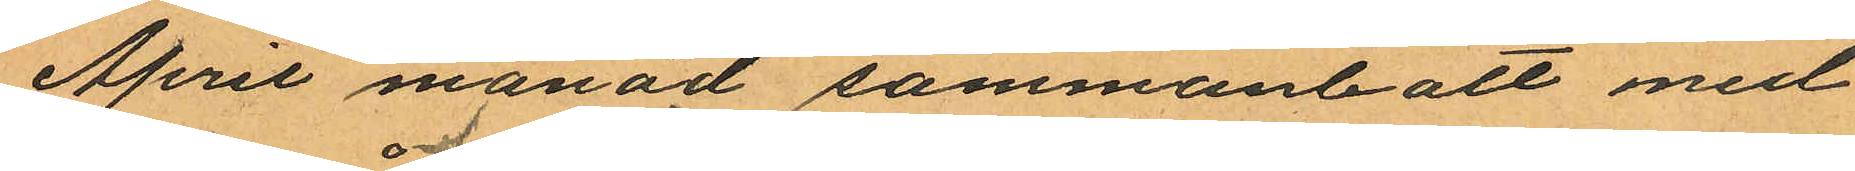April månad sammanbott med
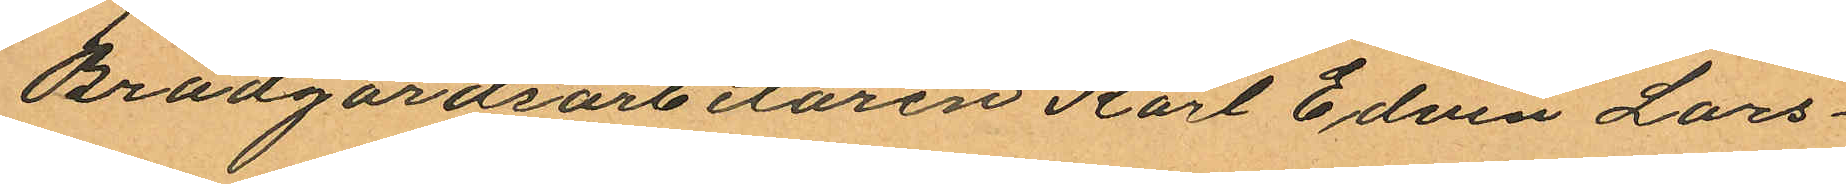Brädgårdsarbetaren Karl Edvin Lars¬
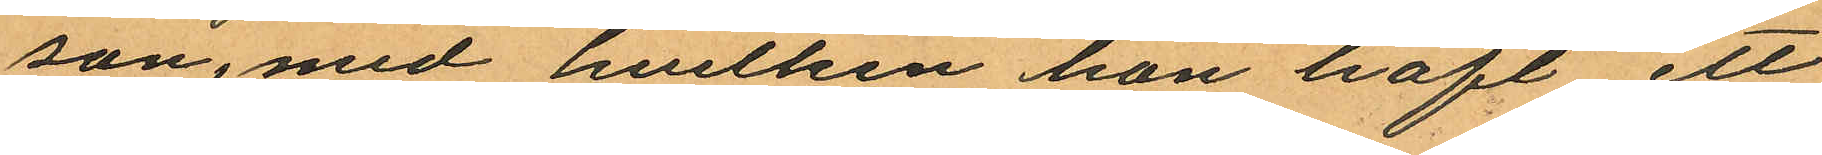son, med hvilken hon haft ett
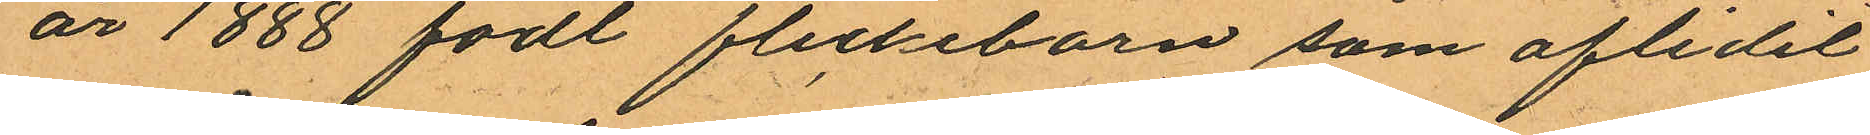år 1888 födt flickebarn som aflidit
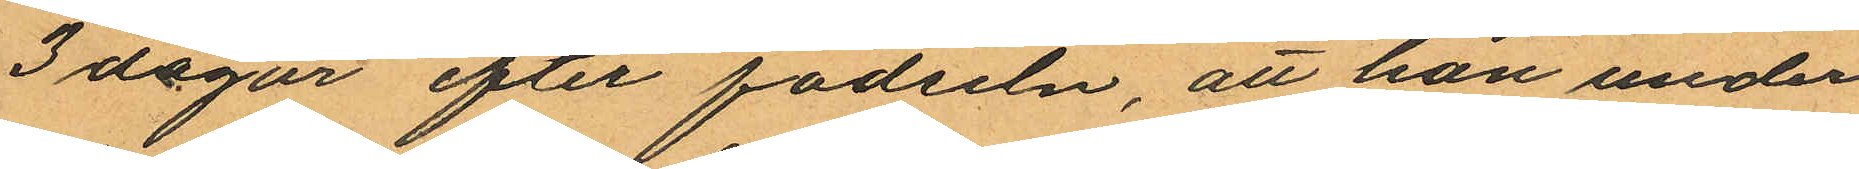3 dagar efter födseln, att hon under
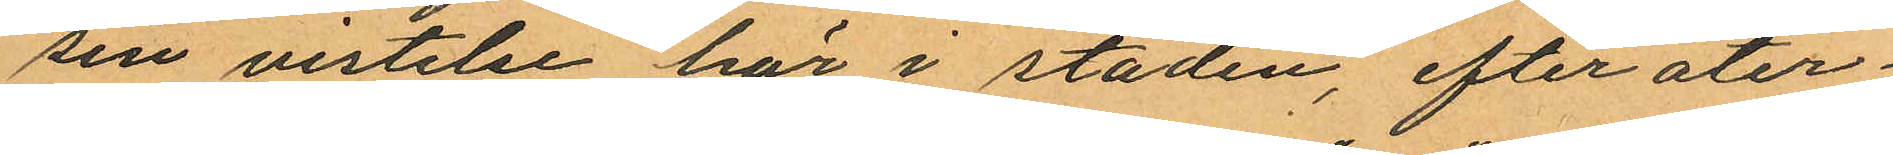sin vistelse här i staden, efter åter¬
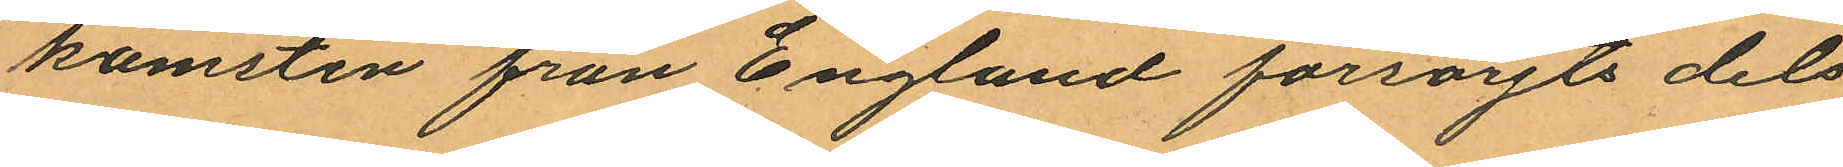komsten från England försörjts dels
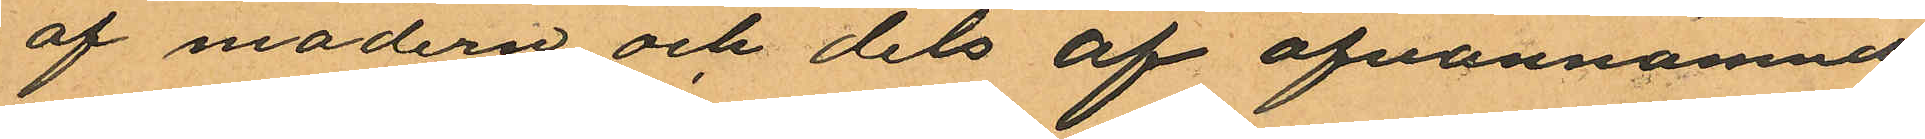af modern och dels af ofvannämnde
